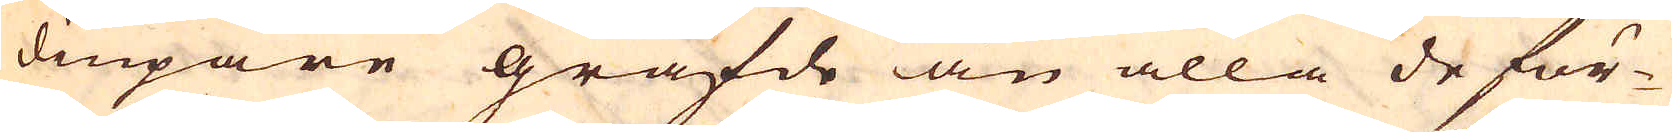diupare gräfde än alla de för-
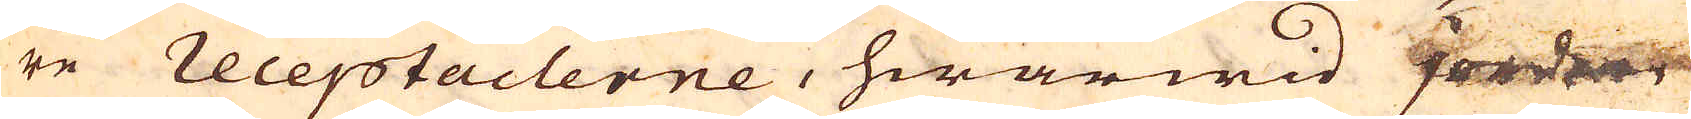re receptaclerne, hwarwid jorden
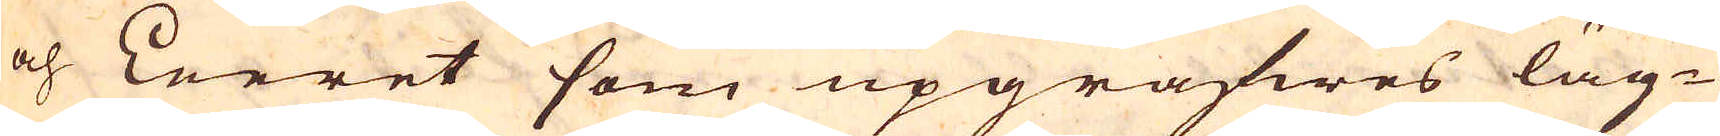och Leeret som upgräfwes läg-
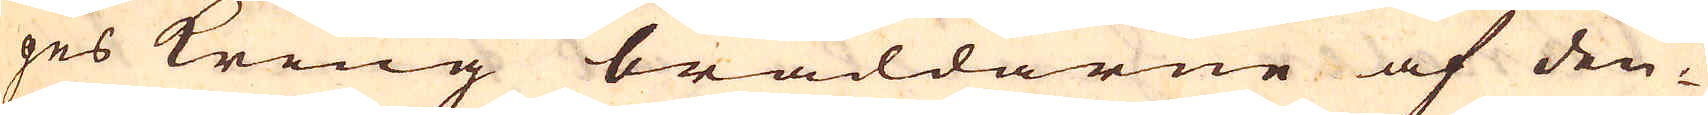ges kring bräddarne af den-
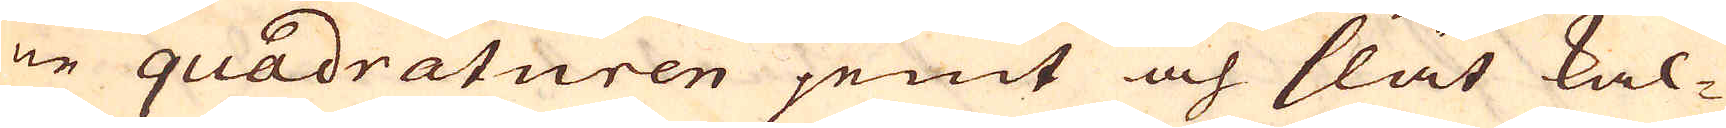ne quadraturen jemt och slät kal-
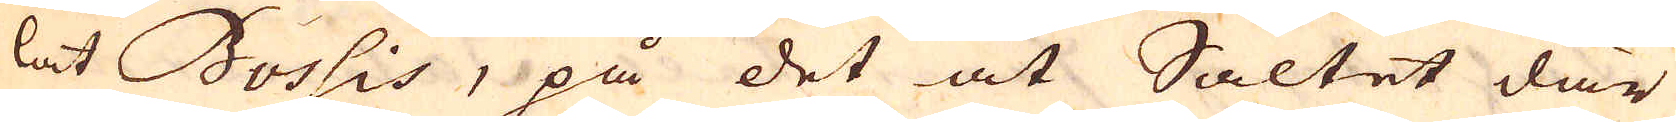lat Bossis, på det at Saltet där
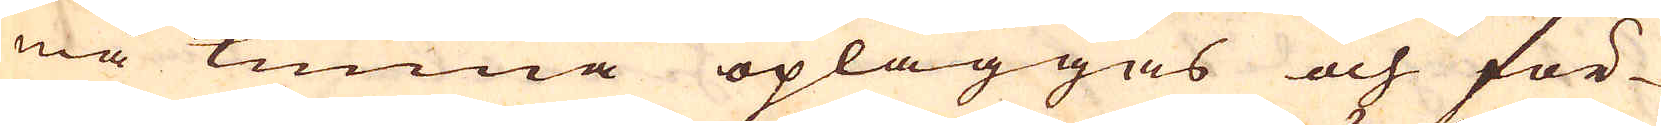må kunna opläggas och för-
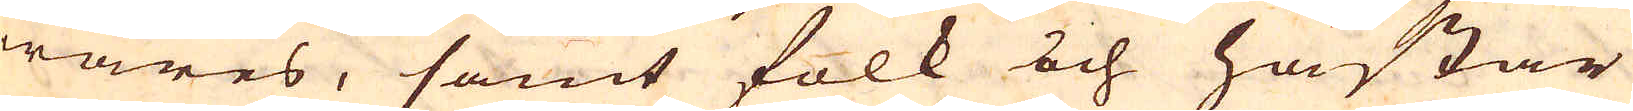wares, samt folk och hästar
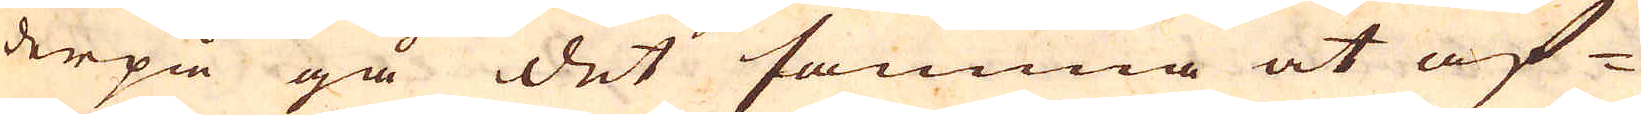derpå gå det samma at af-
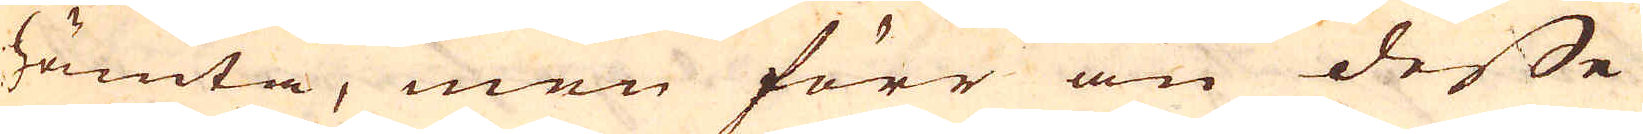hämta, men förr än desse
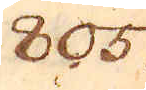805.
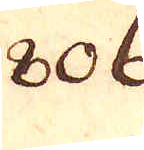806.
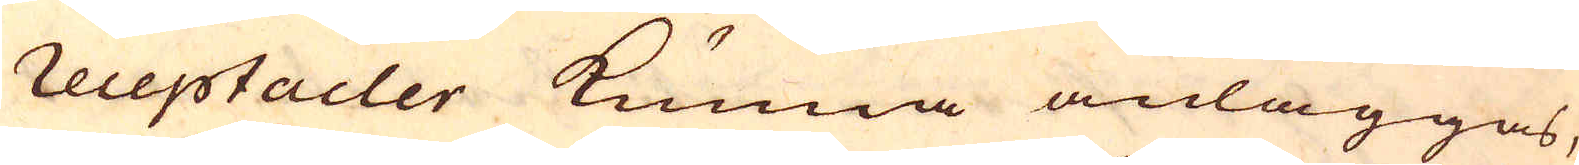receptacler kunna anläggas,
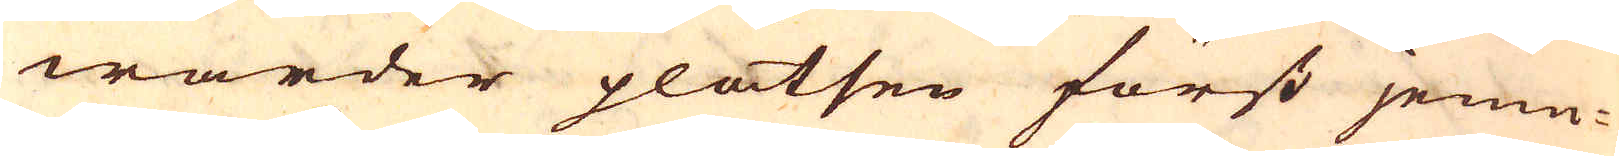warder platsen först jemn-
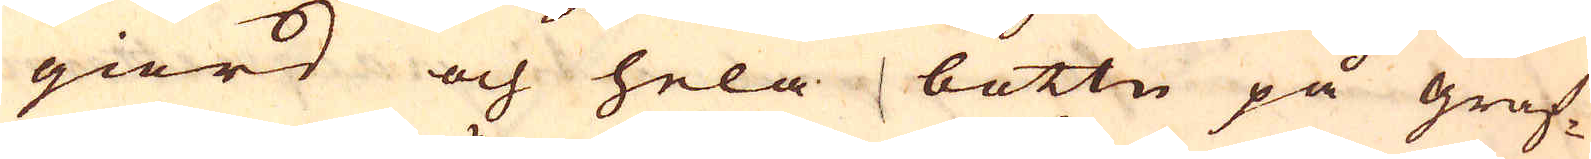giord och hela bottn på graf-
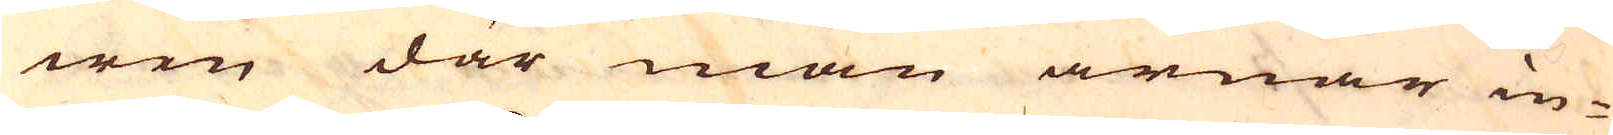wen där man ärnar in-
